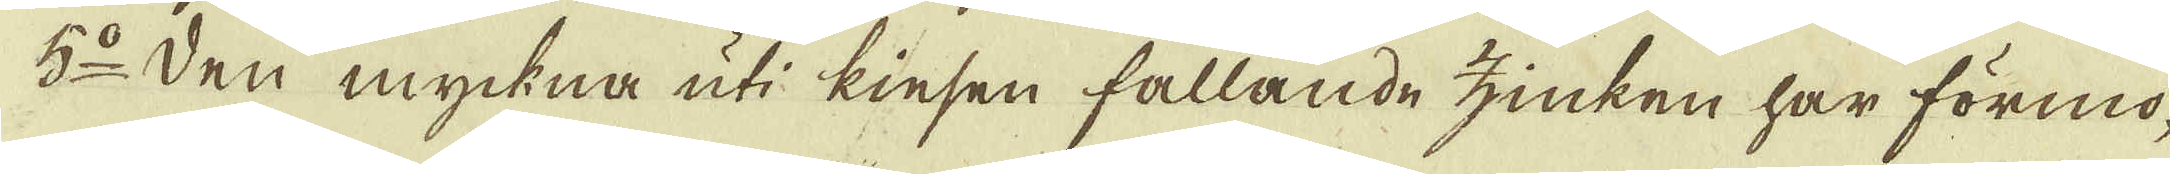5:o Den myckna uti kiesen fallande zinken har förmo-
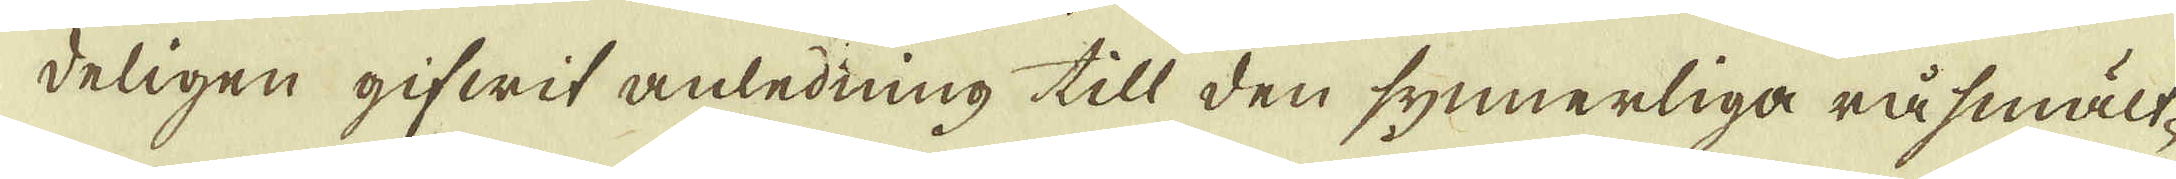deligen gifwit anledning till den synnerliga råsmält-
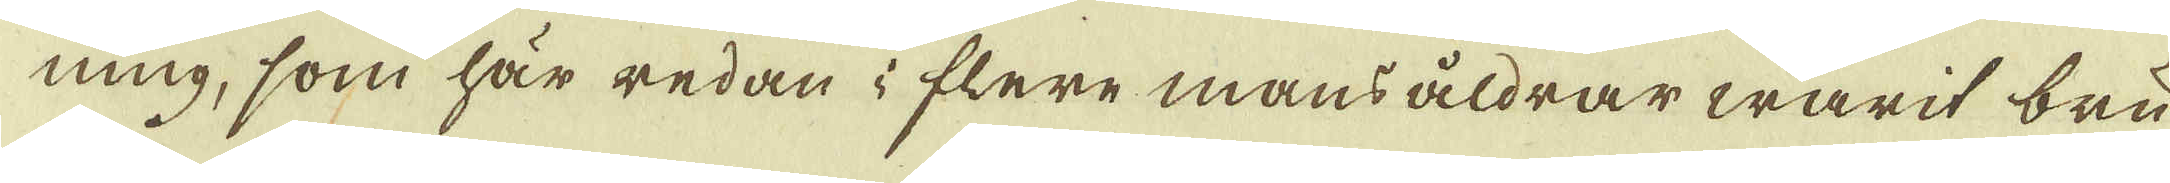ning, som här redan i flere mansåldrar warit bru-
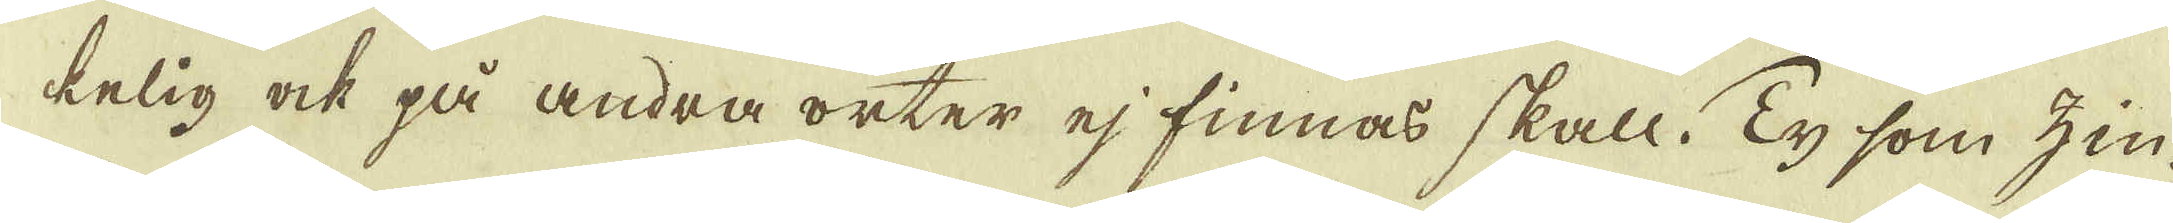kelig ock på andra orter ej finnas skall. Ty som zin-
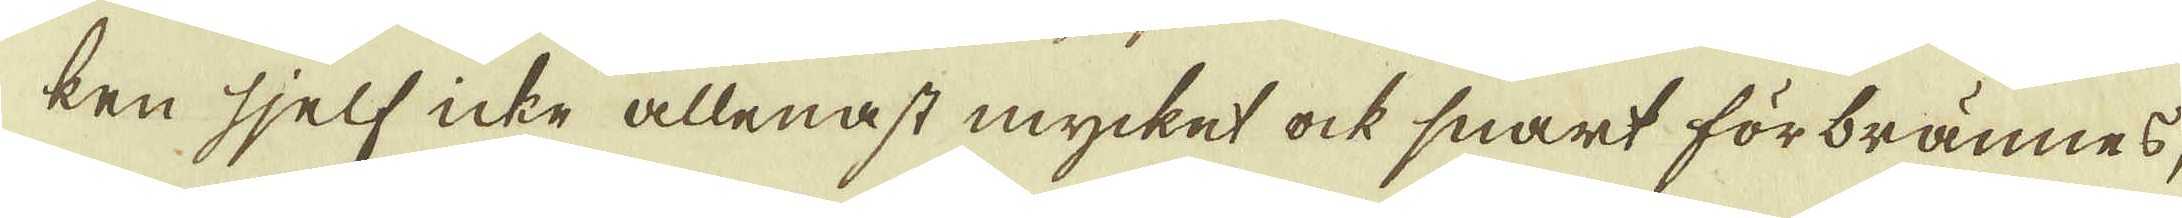ken sjelf icke allenast mycket ock snart förbrännes,
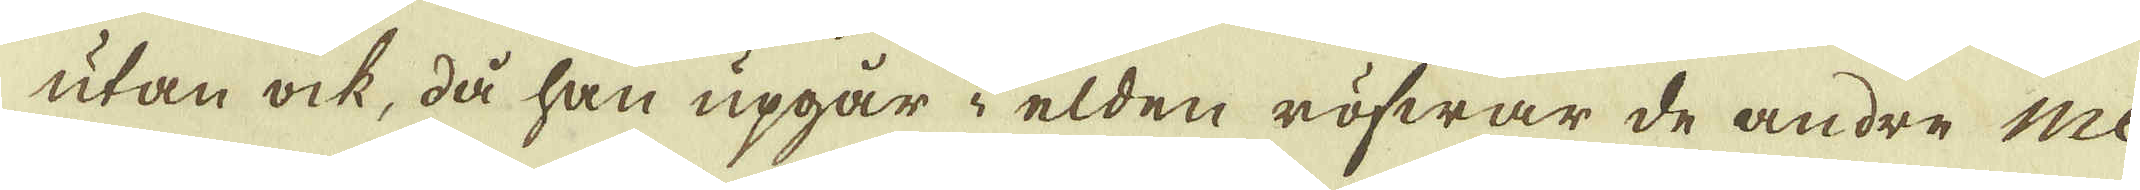utan ock, då han upgår i elden röfwar de andre me-
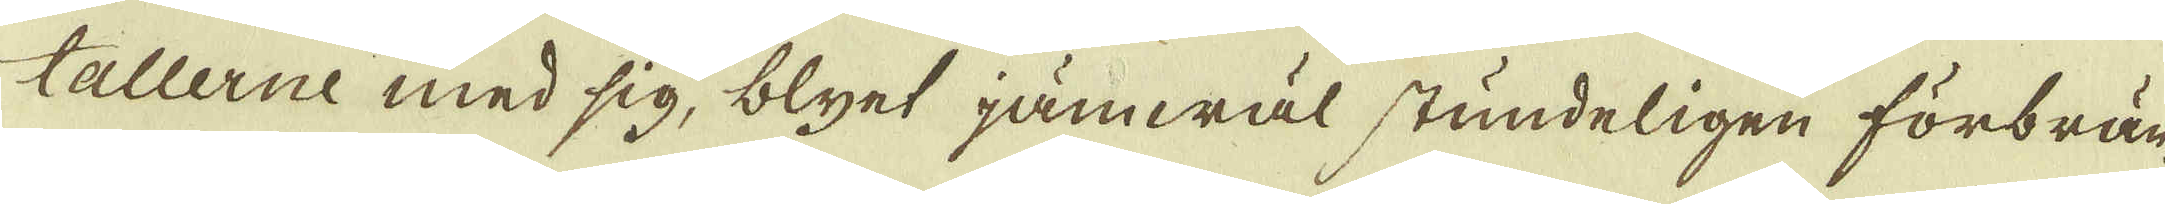tallerne med sig, blyet jämwäl stundeligen förbrän-
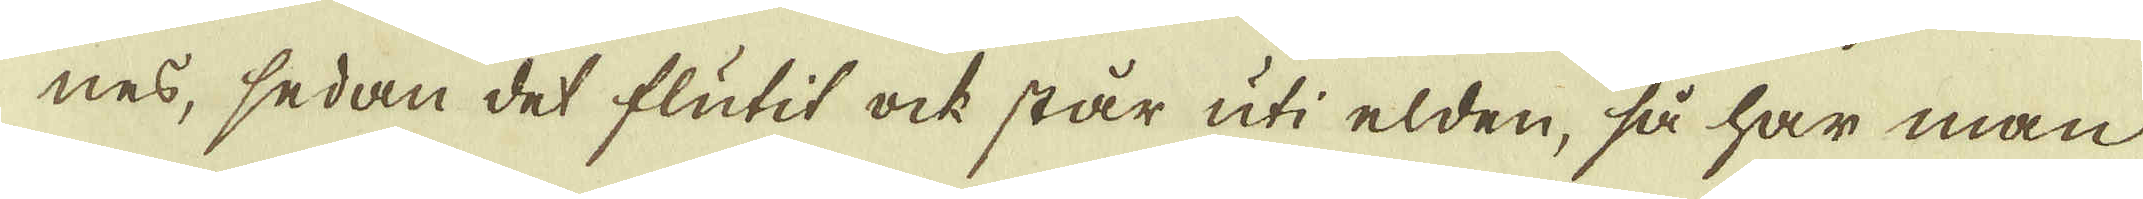nes, sedan det flutit ock står uti elden, så har man
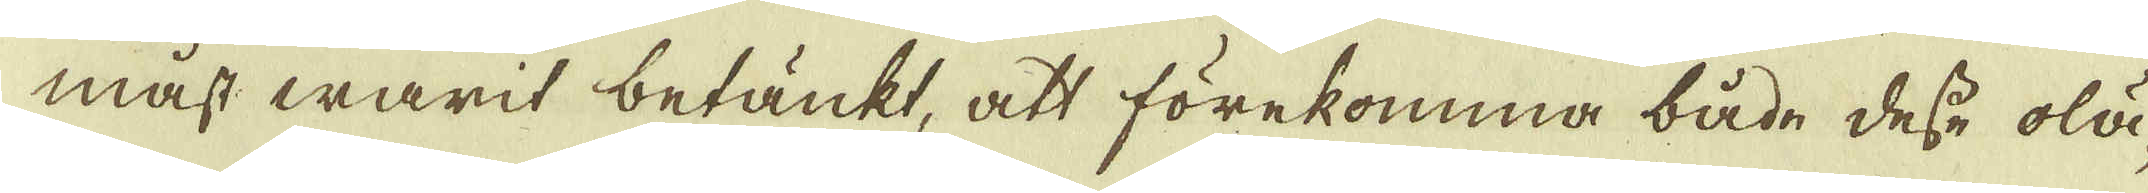mäst warit betänkt, att förekomma både desse olä-
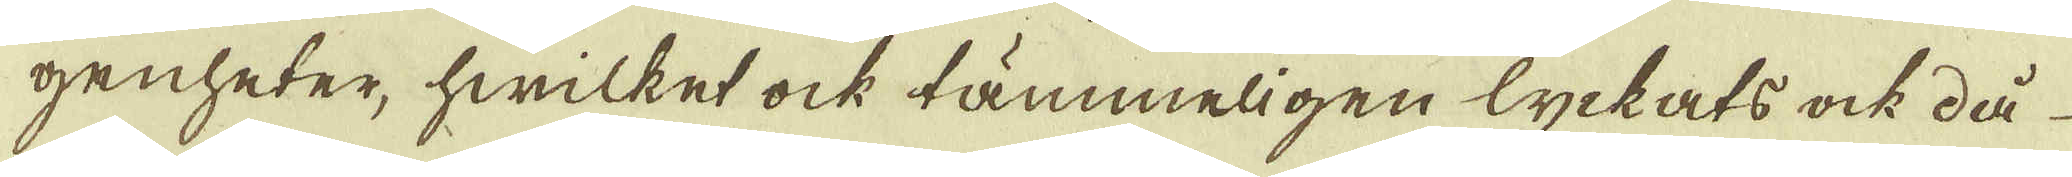genheter, hwilket ock tämmeligen lyckats ock då
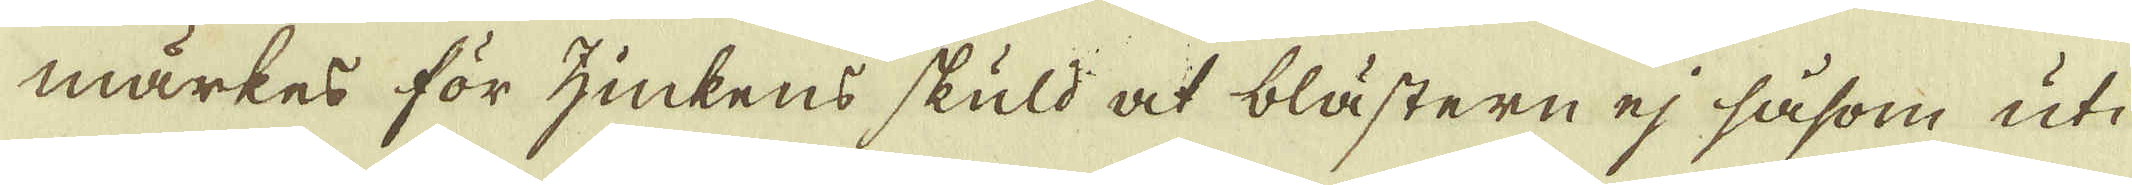märkes för zinkens skuld at blästern ej såsom uti
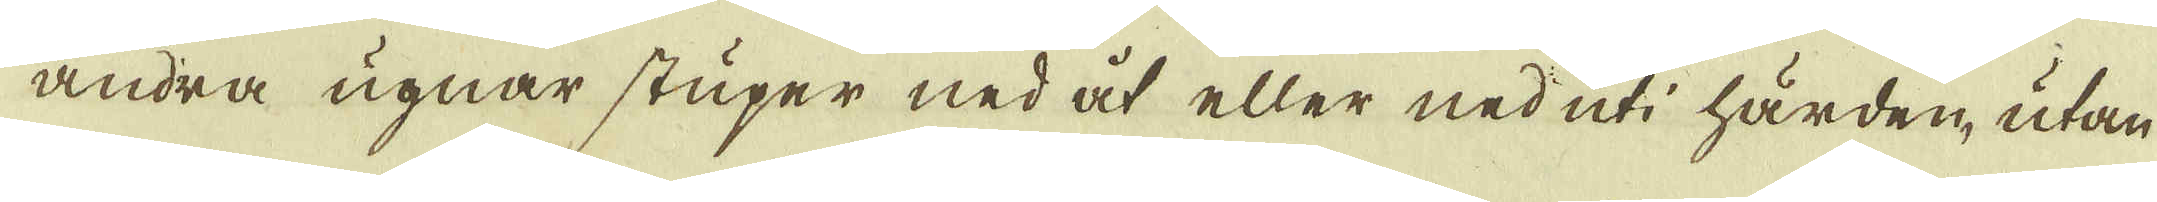andra ugnar stuper ned åt eller ned uti härden, utan
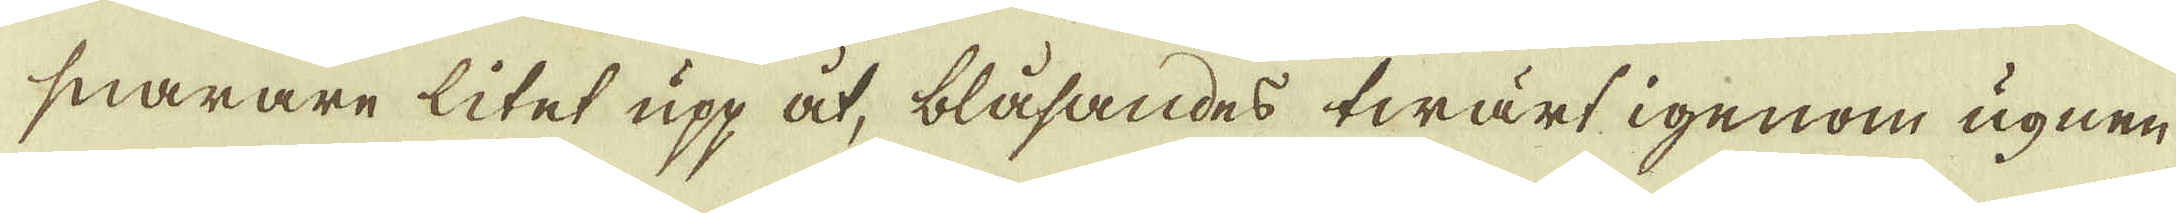snarare litet upp åt, blåsandes twärt igenom ugnen
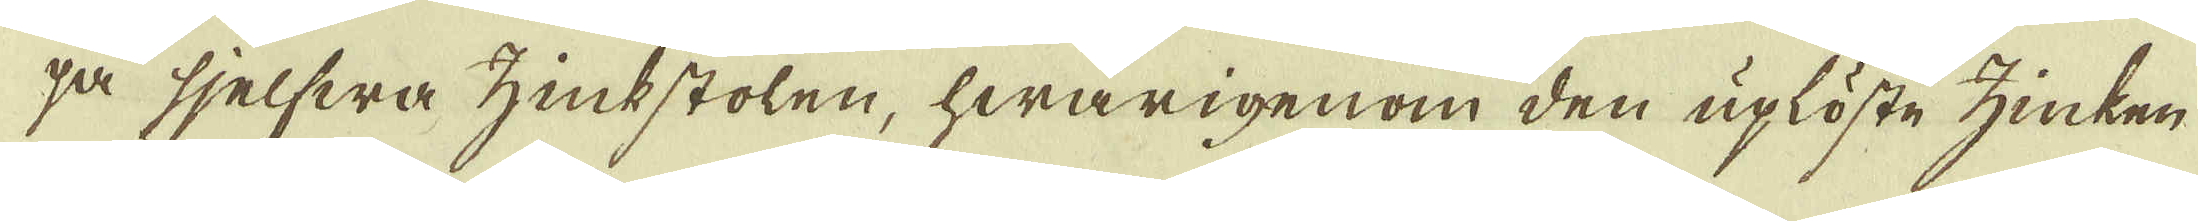på sjelfwa zinkstolen, hwarigenom den uplöste zinken
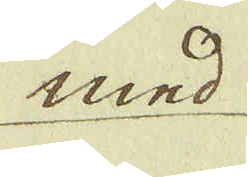med
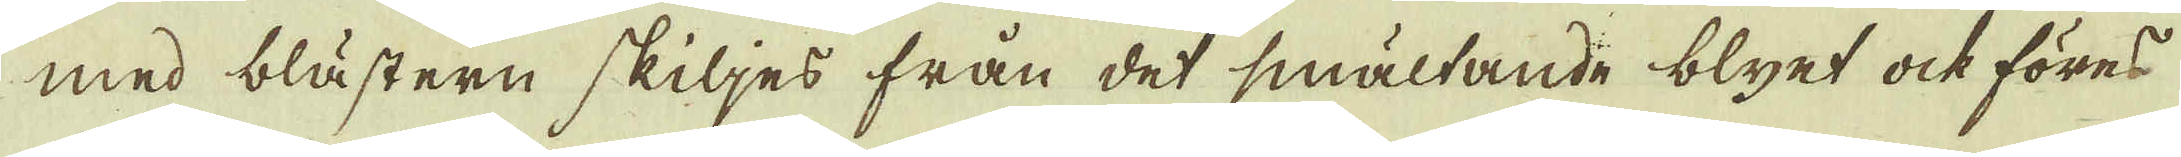med blästern skiljes från det smältande blyet ock föres
